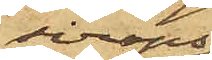siraps¬
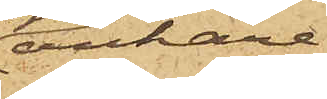ankare,
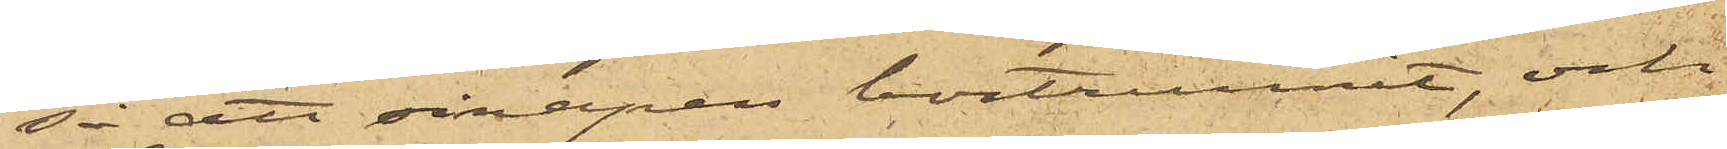så att sirapen bortrunnit, och
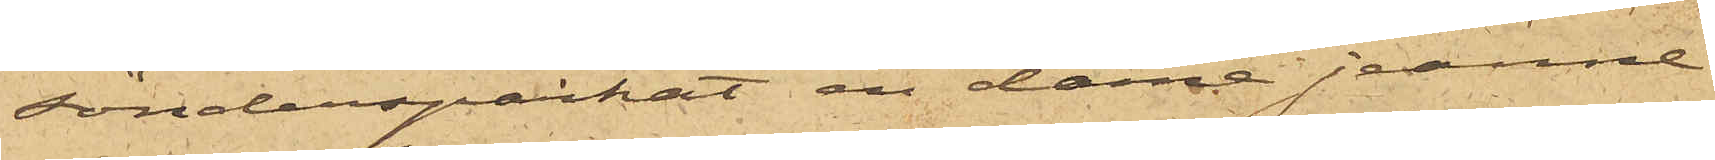söndersparkat en damejeanne
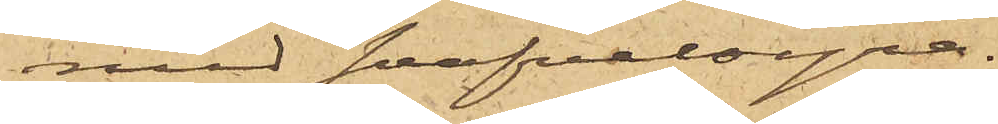med  svavelsyra.
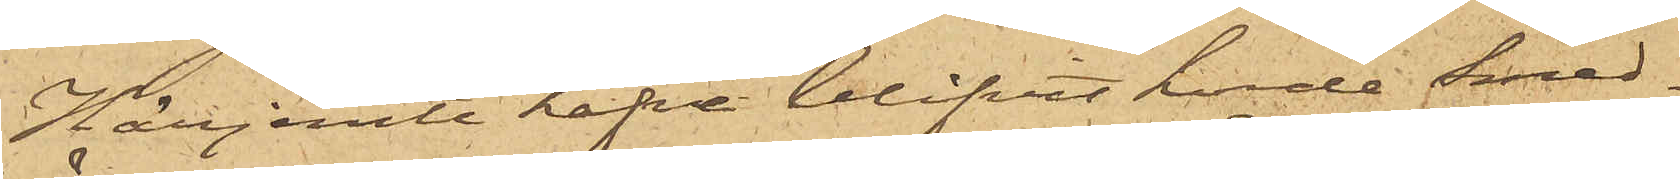Härjemte hafva blifvit hörde Smed¬
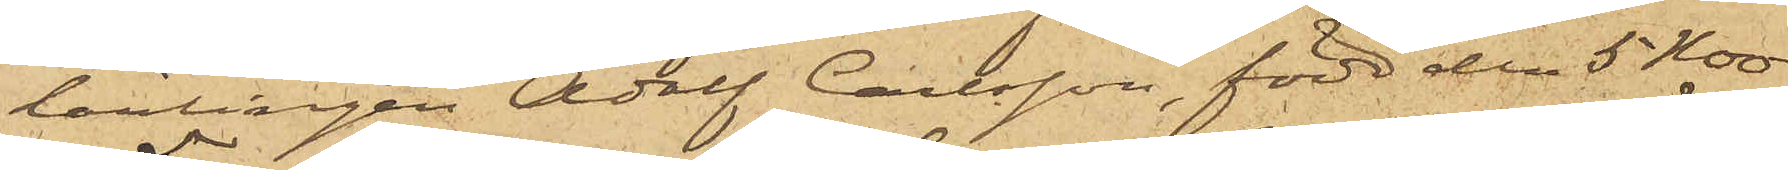lerlingen Adolf Carlsson, född den 5 Nov.
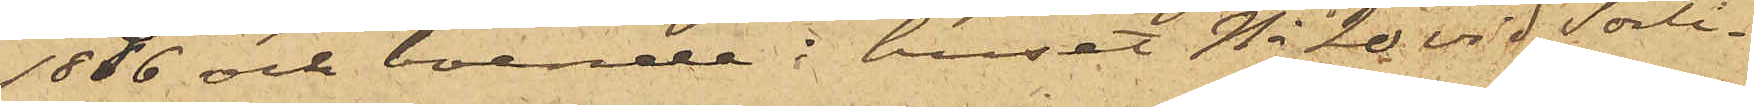1856 och boende i huset No 20 vid Sörli¬
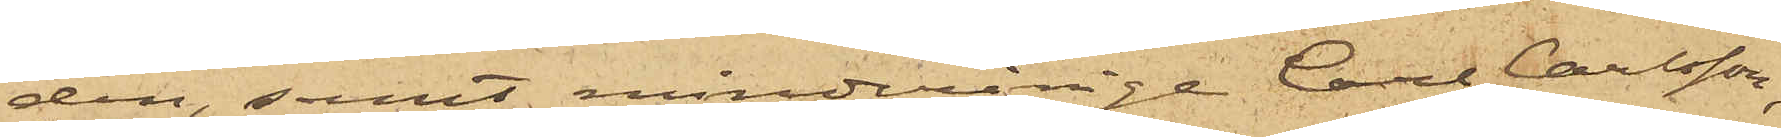den samt minderårige Carl Carlsson,
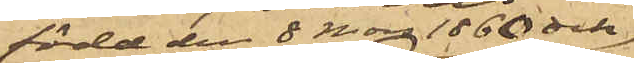född den 8 Mars 1860 och
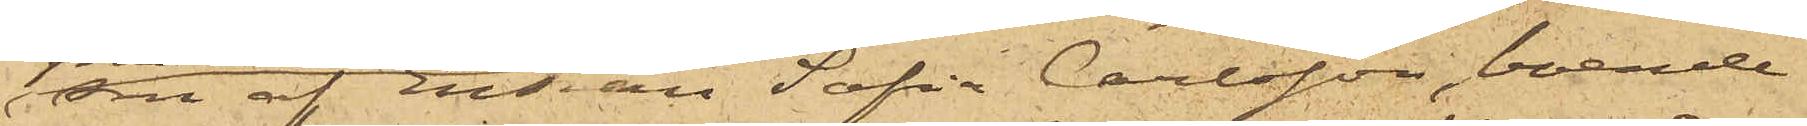son af Enkan Sofia Carlsson, boende
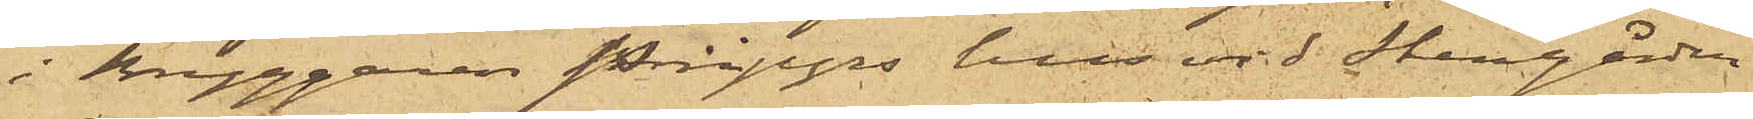i Bryggaren Börjessons hus vid Stampån,
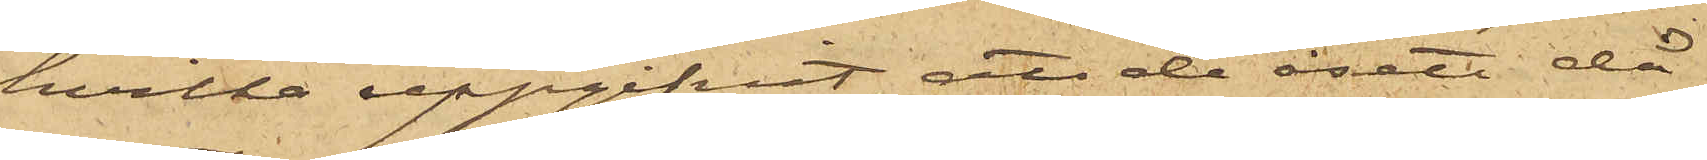hvilka uppgifvit, att de åsett då
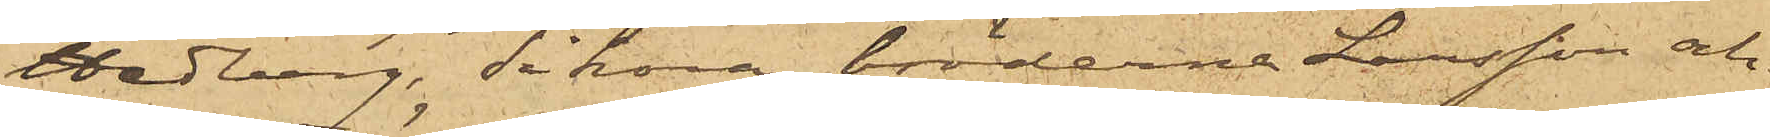Hedberg, Sikora, bröderne Larsson och
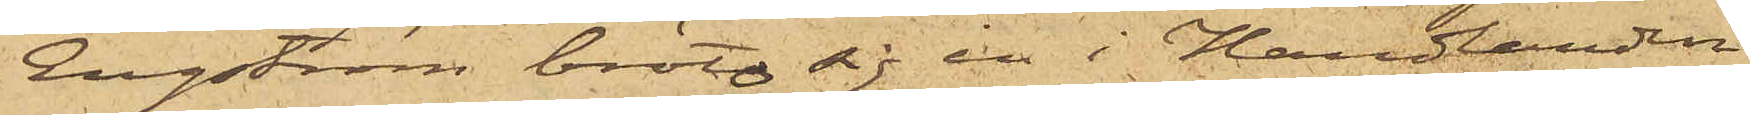Engström bröto sig in i Handlanden
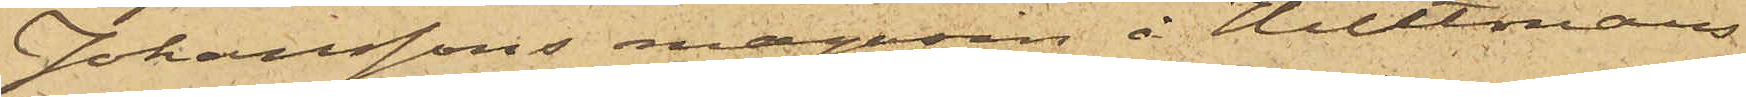Johanssons magasin å Hultmans
